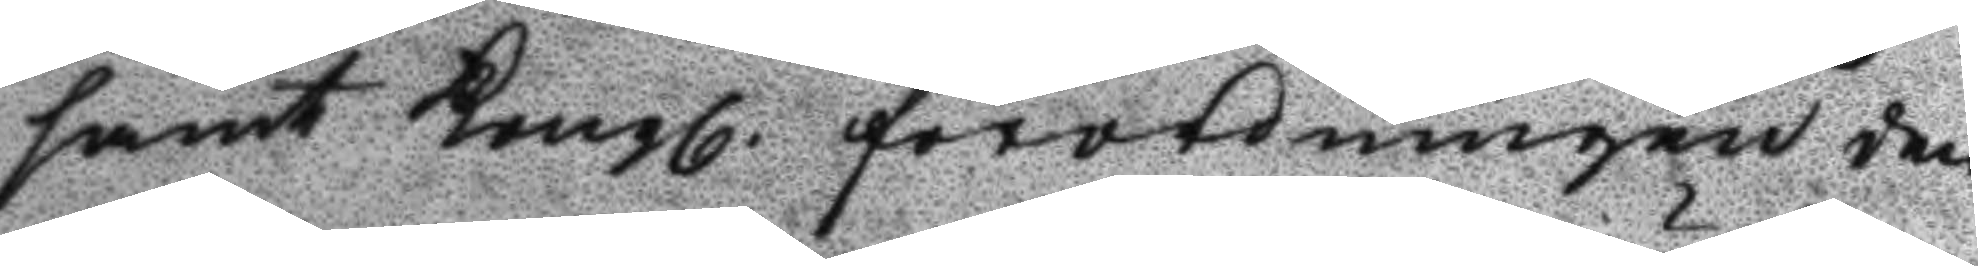samt Kongl. förordningen den
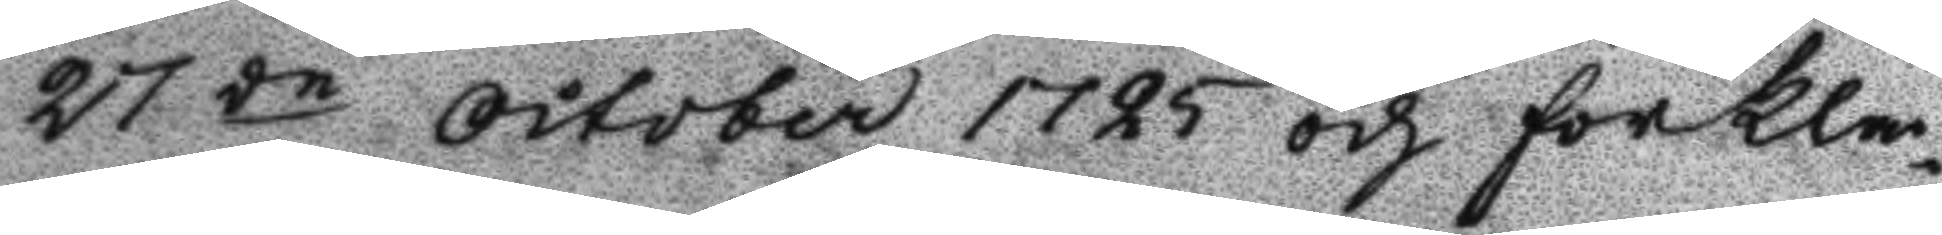27de october 1725 och förklar¬
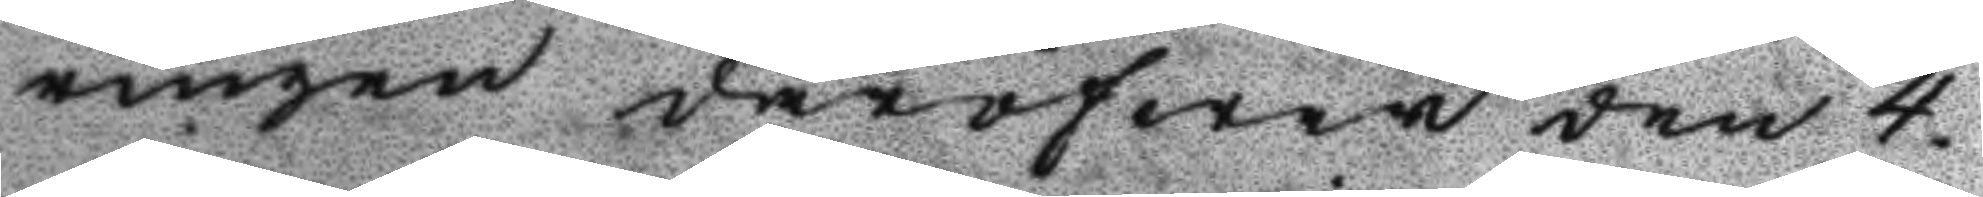ringen däröfwer den 4.
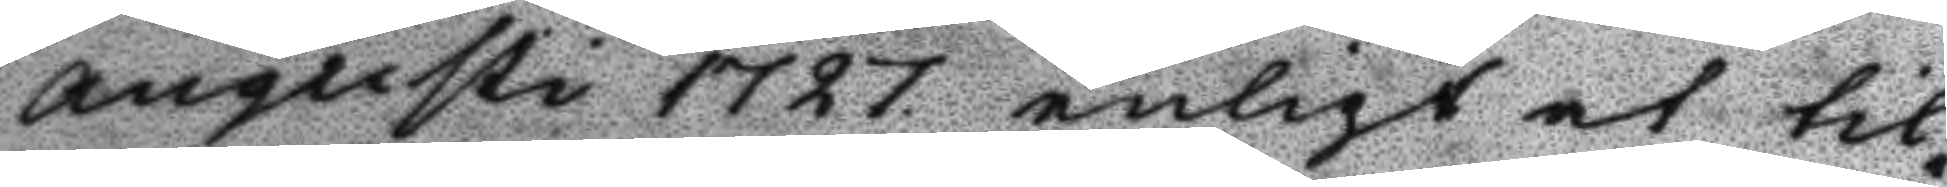augusti 1727 enligt at til¬
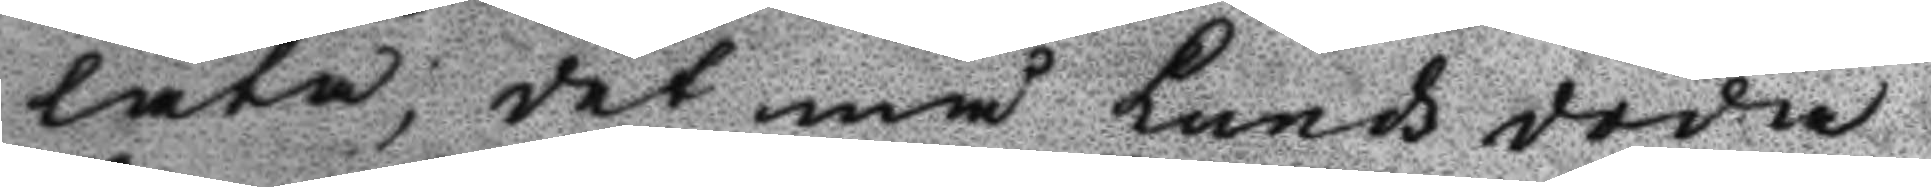låta, det må Lunds döda
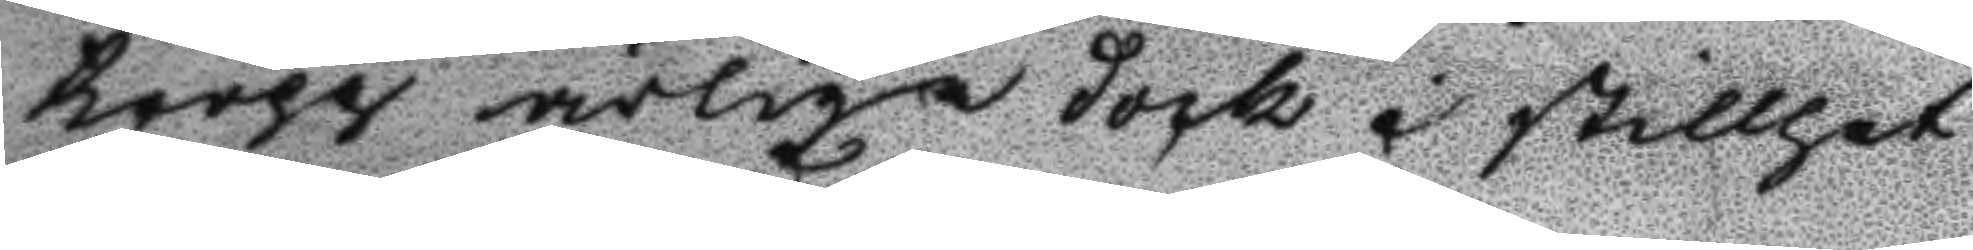kropp ärlige dock i stillhet
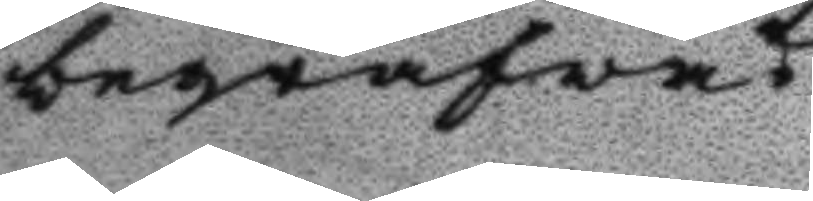begrafwas.
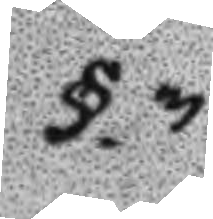§.3.
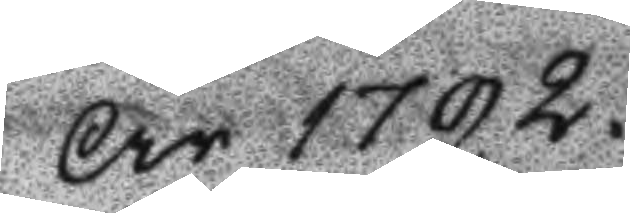År 1792.
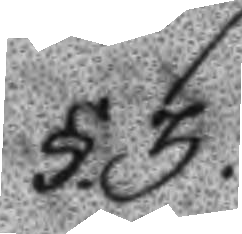§.3.
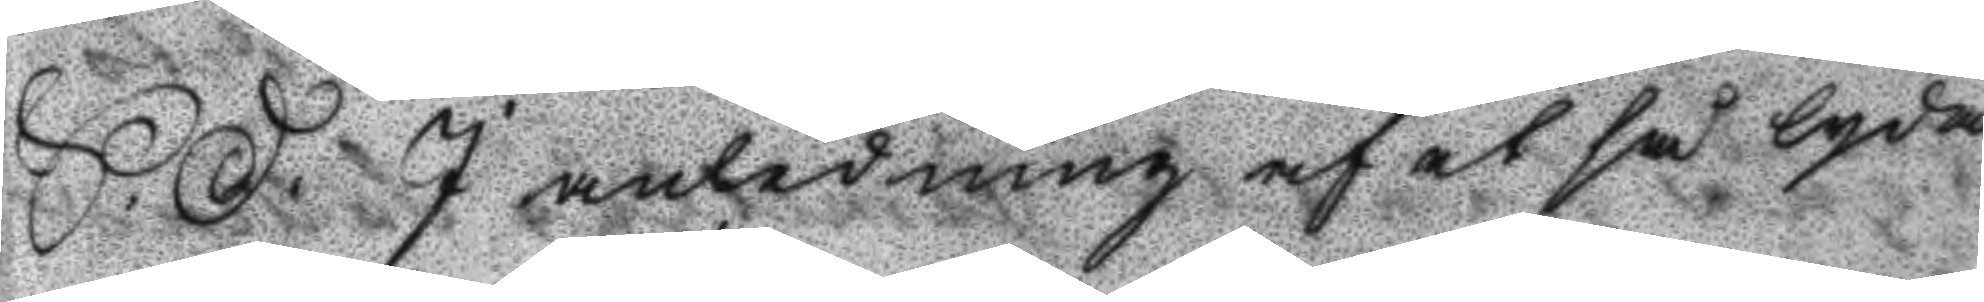S.D. I anledning af et så lydan¬
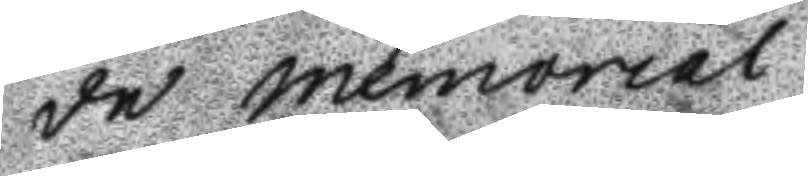de memorial:
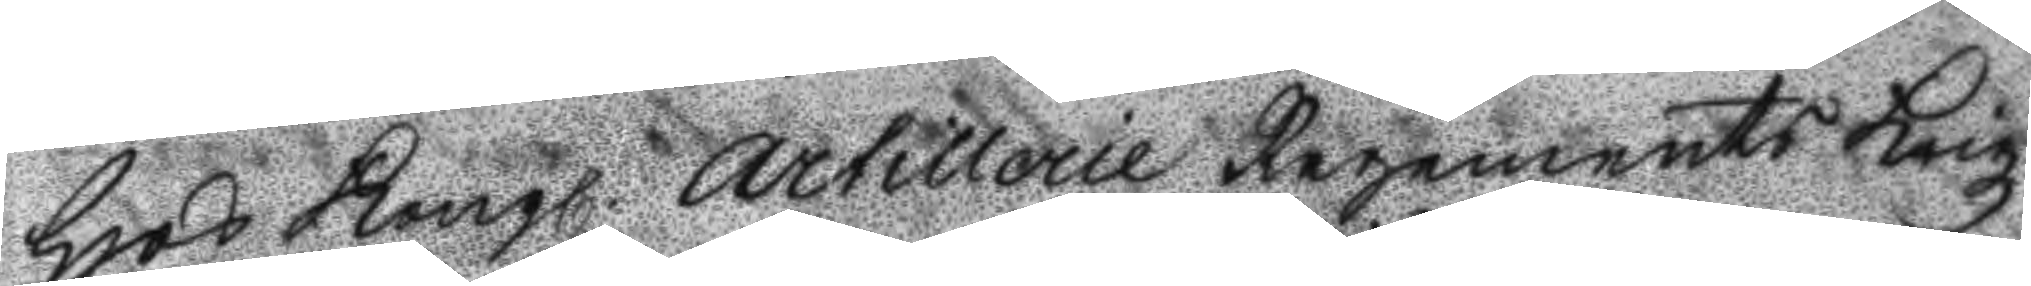Hos Kongl. Artillerie Regements Krigz
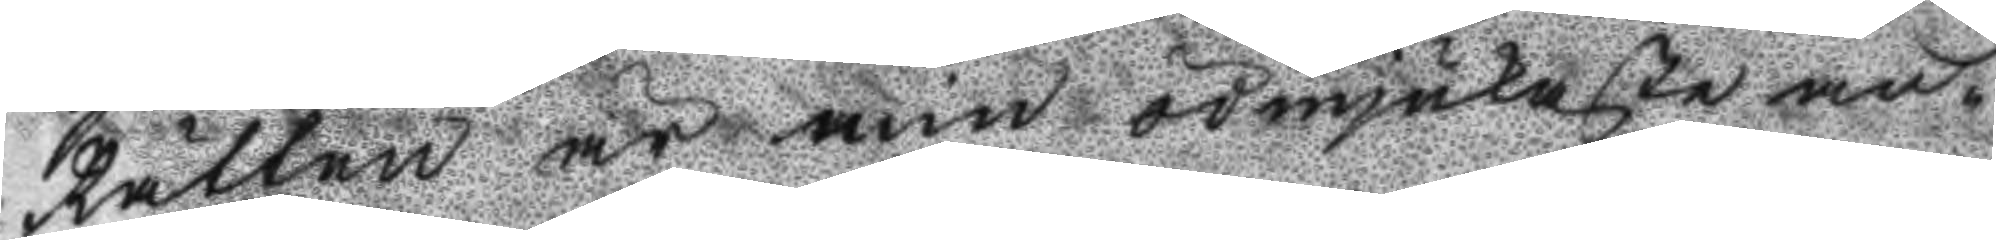Rätten är min ödmjukaste an¬
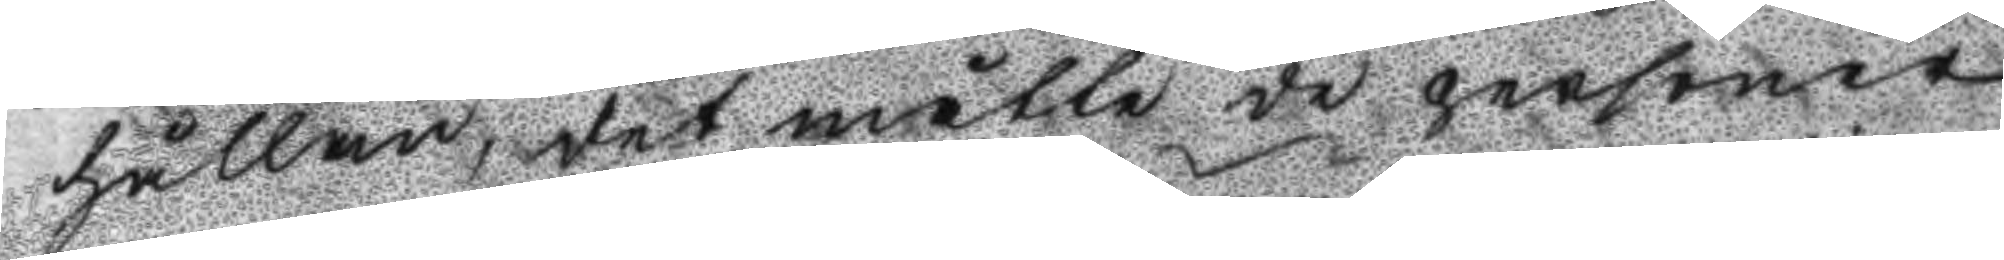hållan, det måtte de personer
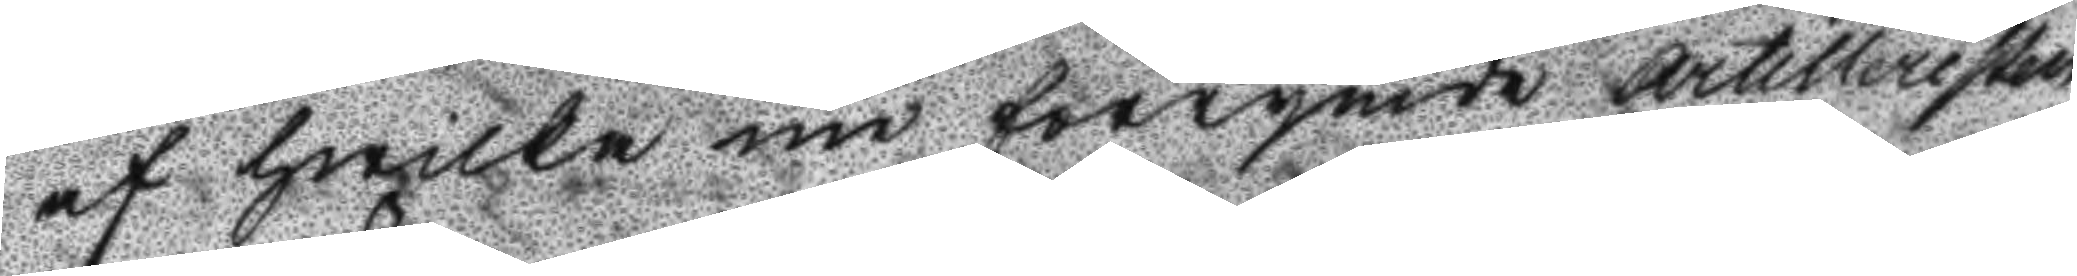af hwilka nu förrymde Artilleristen
